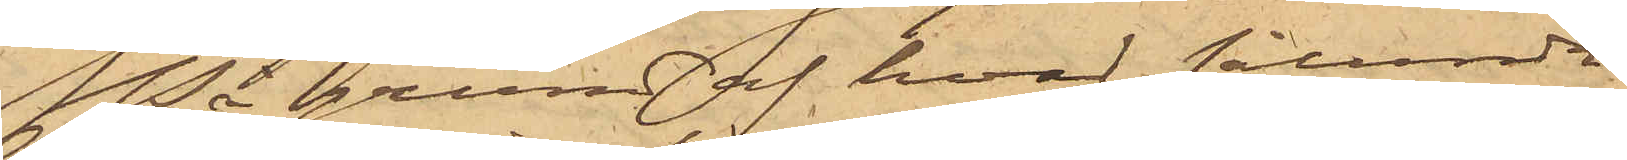På grund af hvad sålunda
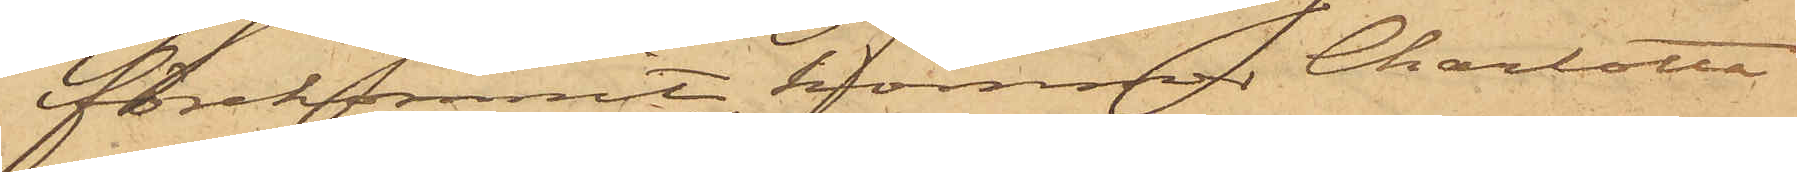förekommit, kommer Charlotta
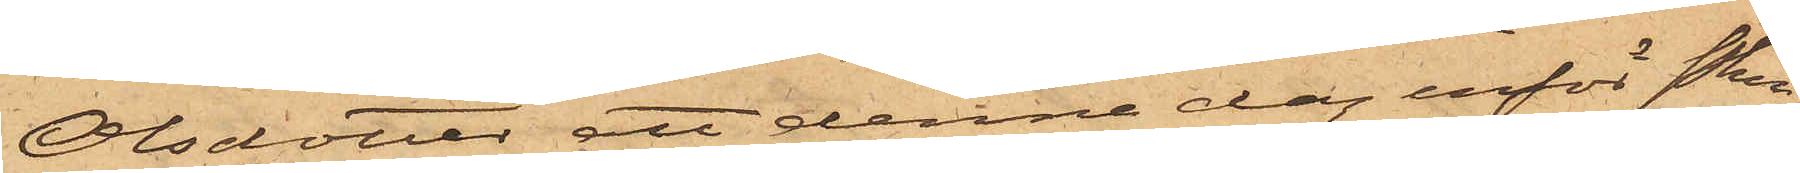Olsdotter att denna dag inför Pkn
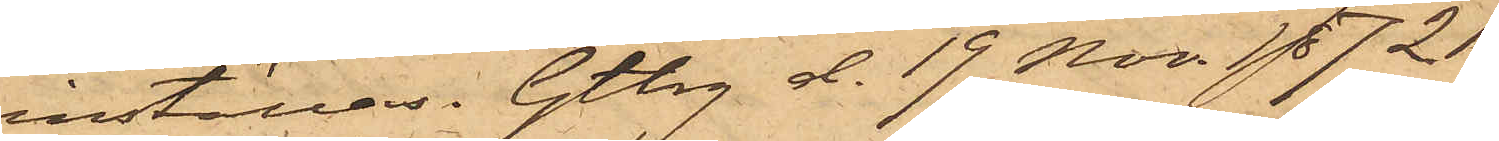inställas. Gtbg d. 19 Nov. 1872
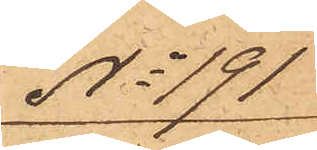No 191
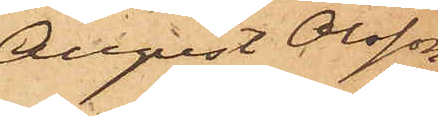August Olsson
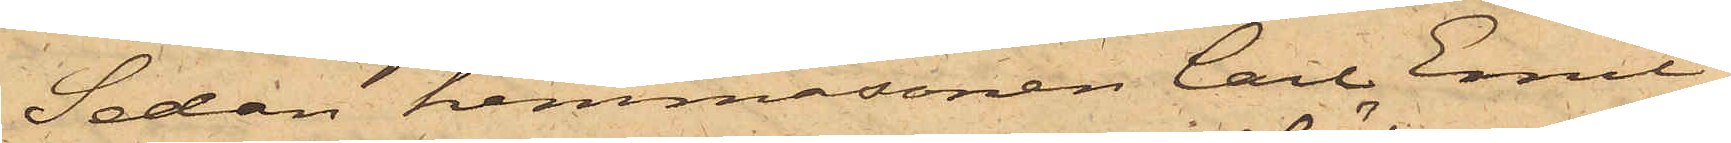Sedan hemmasonen Carl Emil
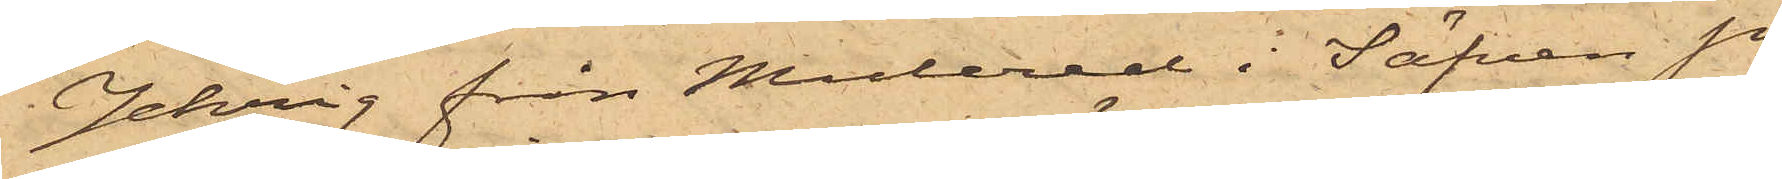Jehrig från Mulered i Säfven Sn
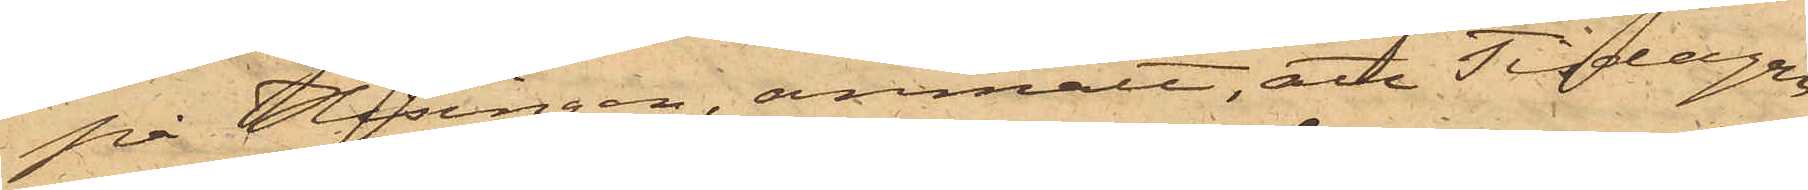på Hisingen, anmält, att Tisdagen
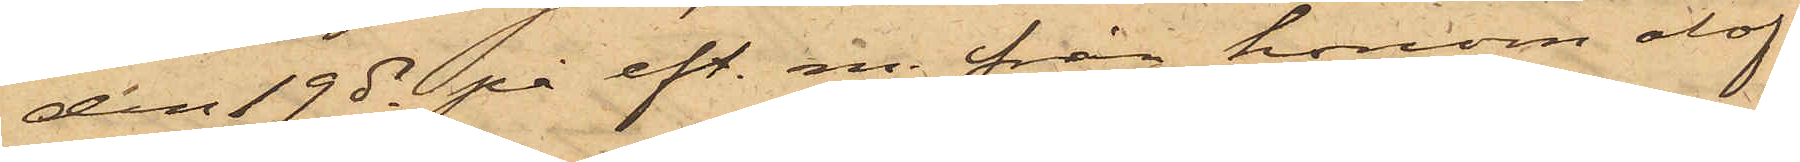den 19 ds på eft. m. från honom olof¬
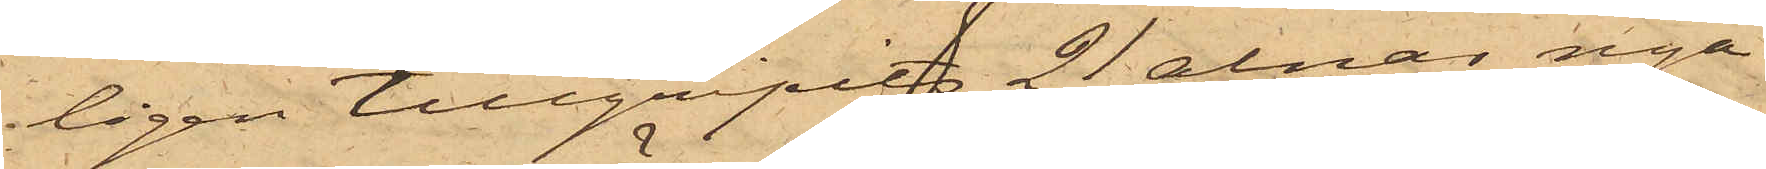ligen tillgripits 21 alnar nya
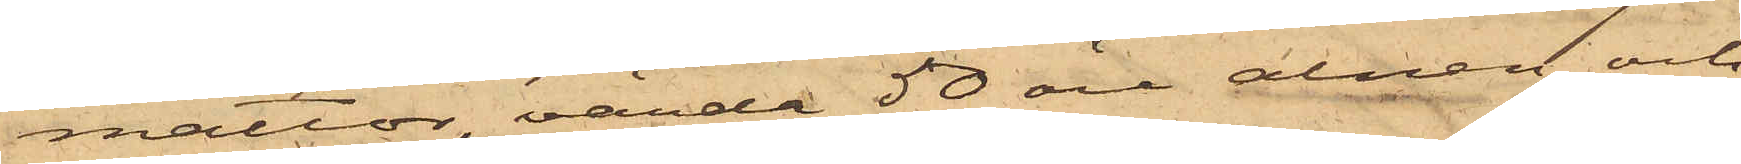mattor, värde 50 öre alnen och
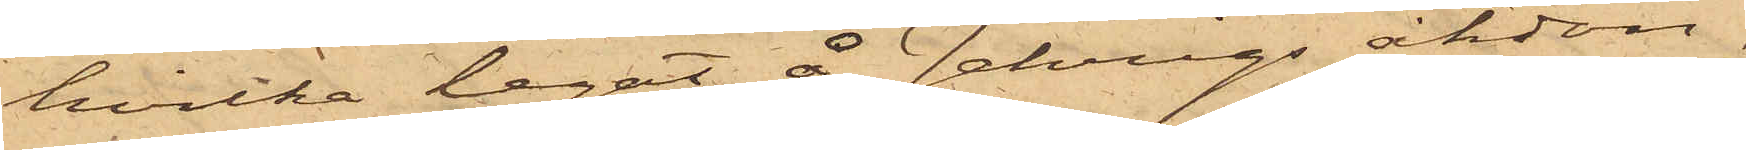hvilka legat å Jehrigs åkdon,
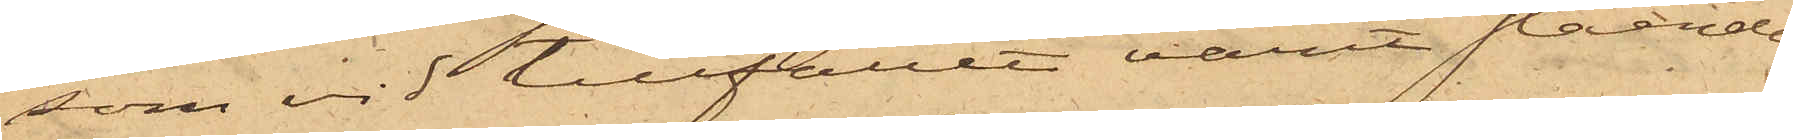som vid tillfället varit stående
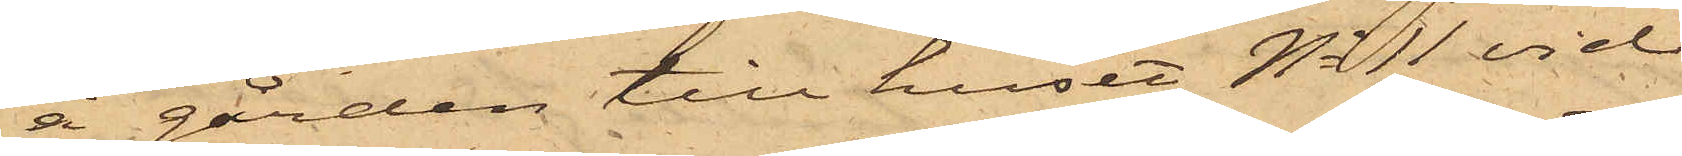å gården till huset No 11 vid
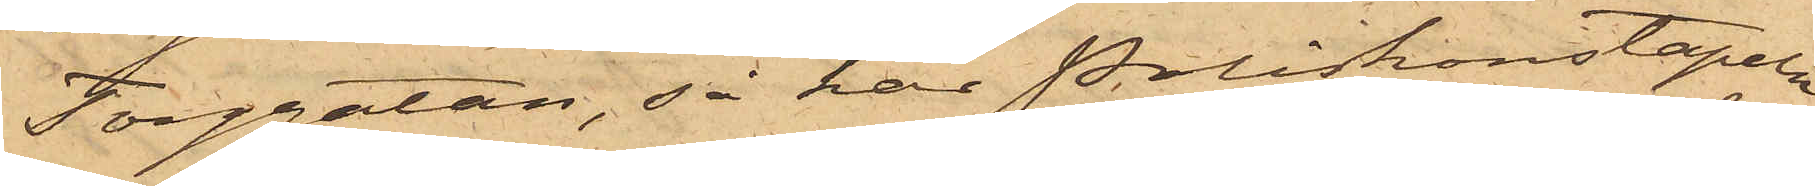Torggatan, så har Poliskonstapeln
